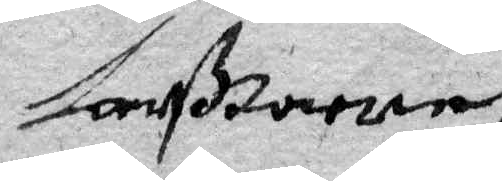Larß torne
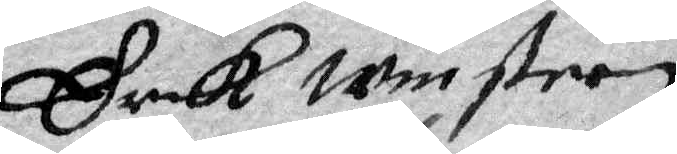Erik Minstran
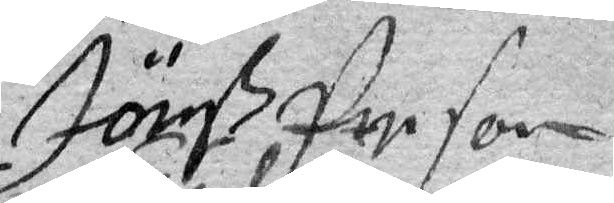Jönß Person
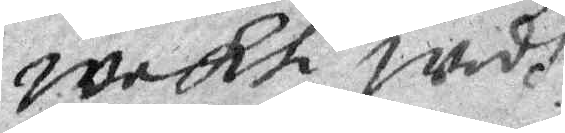wakt wedh
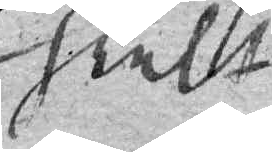feelt
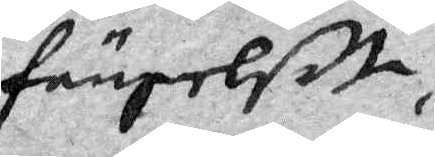fängelse
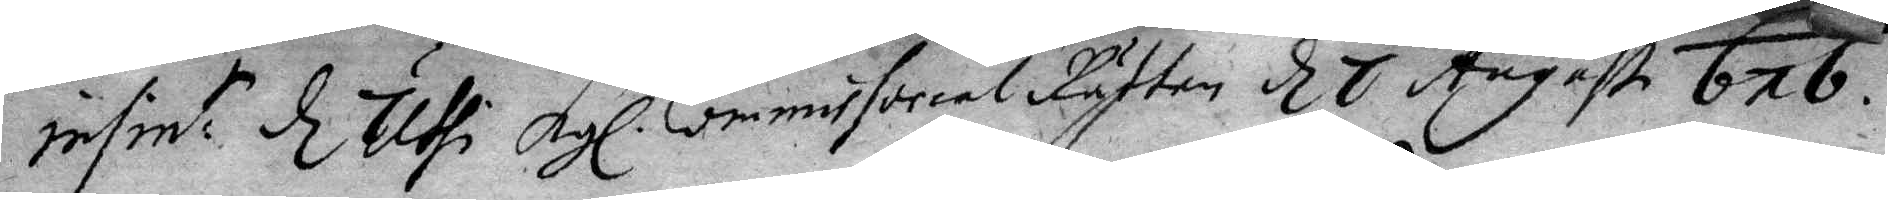Infint: d Uthi Kgl. Commissorial Rätten d 7 Augusti 676.
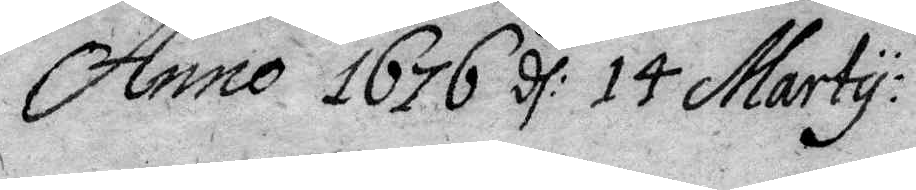Anno 1676 d: 14 Marty:
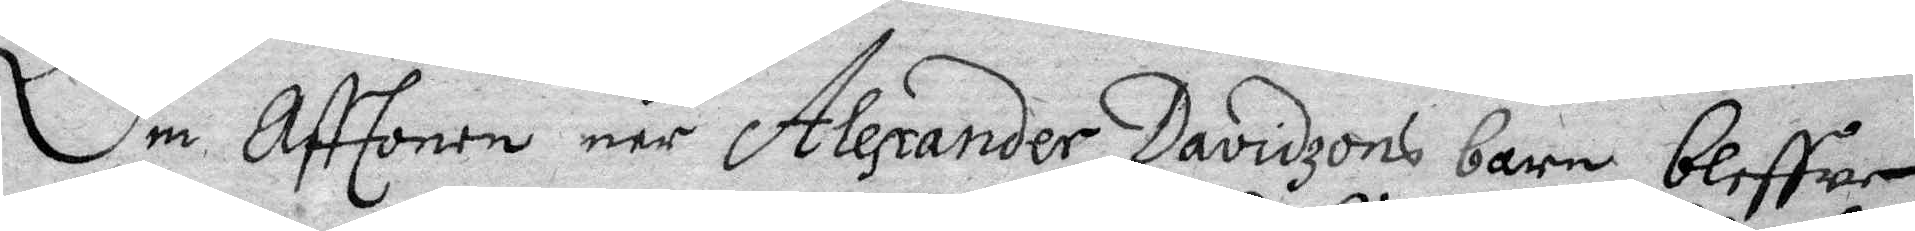Om Afftonen när Alexander Davidzons barn bliffwer
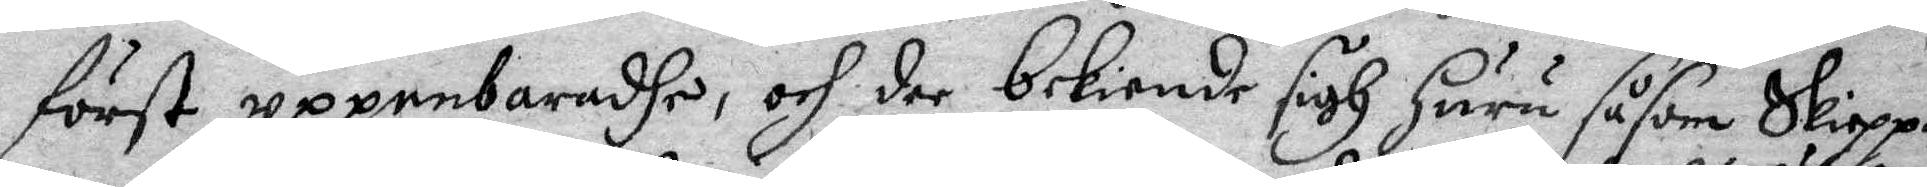först uppenbaradhe, och der bekiende sigh Huru såsom Skippa¬
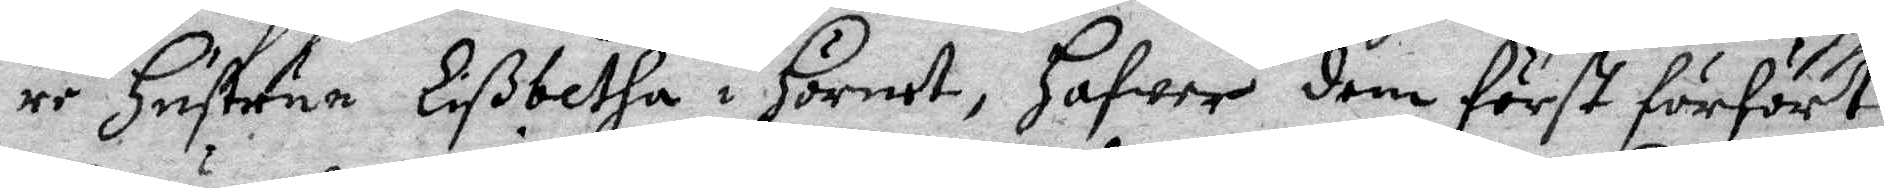re Hustrun Lißbetha i Hörnet, hafwer dem först förfört,
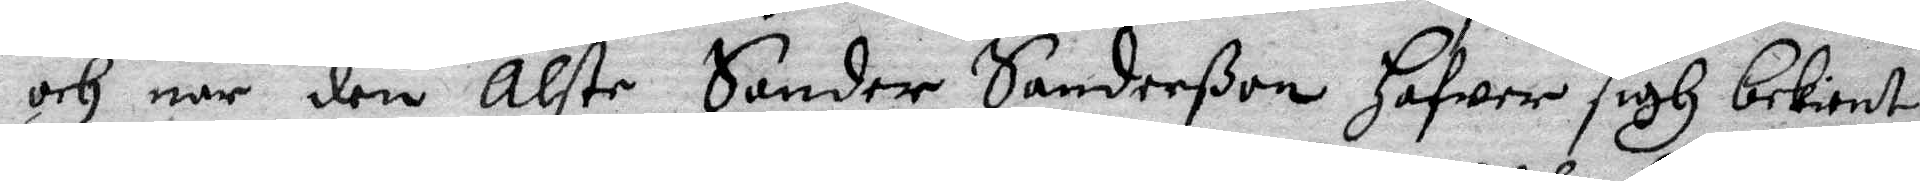och när den älste Sander Sanderßon Hafwer sigh bekient,
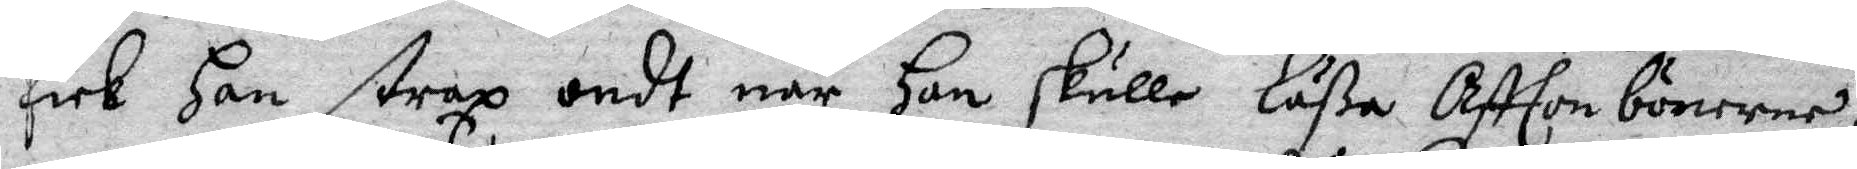fick Han straz ondt när Han skulle Läßa Afftonbönerne,
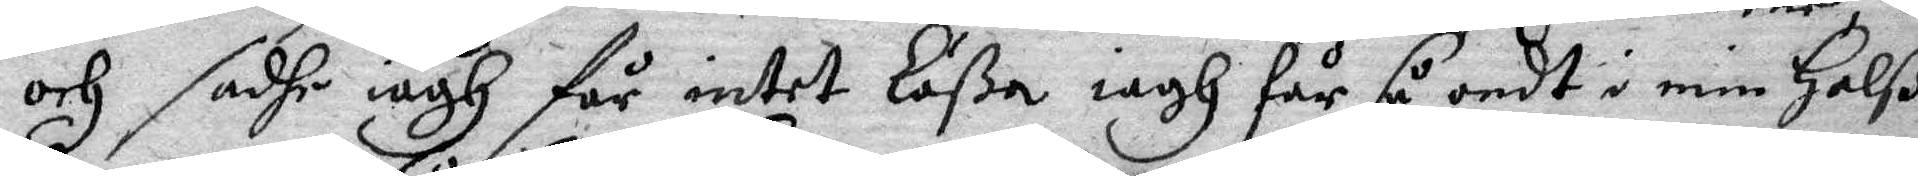och safhe iagh får intet Läßa iagh får så omdt i min Halß,
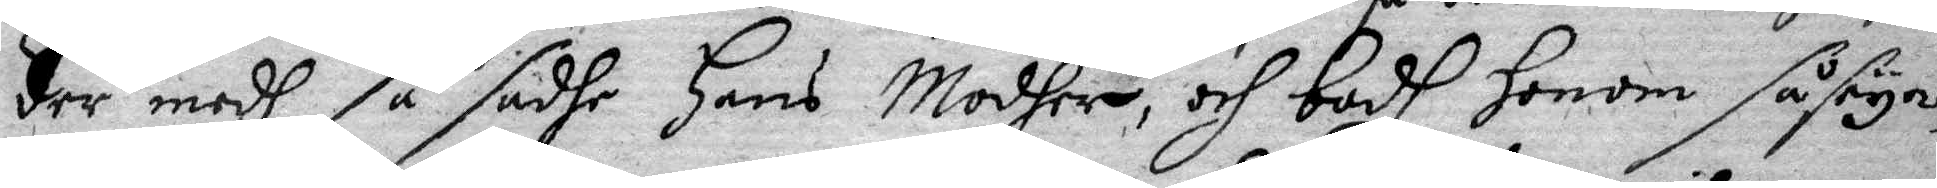der medh så sadhe Hans Modher, och bodh honom så seya,
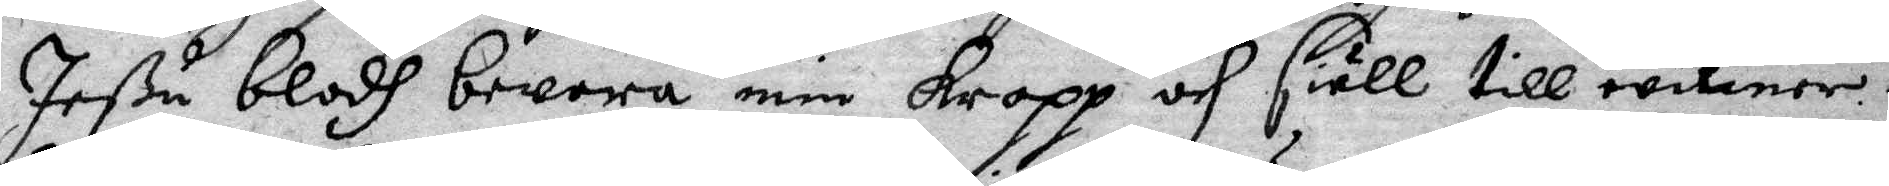Jeßu blodh bewara min kropp och siäll till wikner¬
